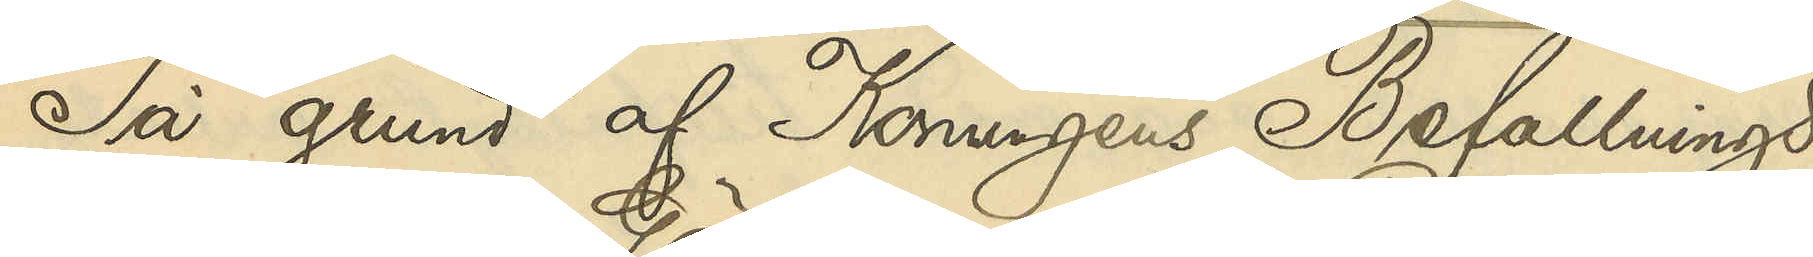På grund af Konungens Befallnings¬
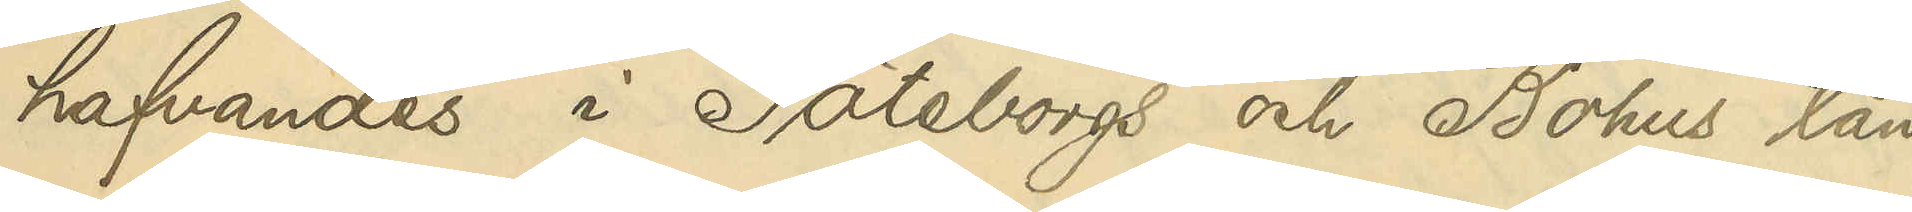hafvandes i Göteborgs och Bohus län
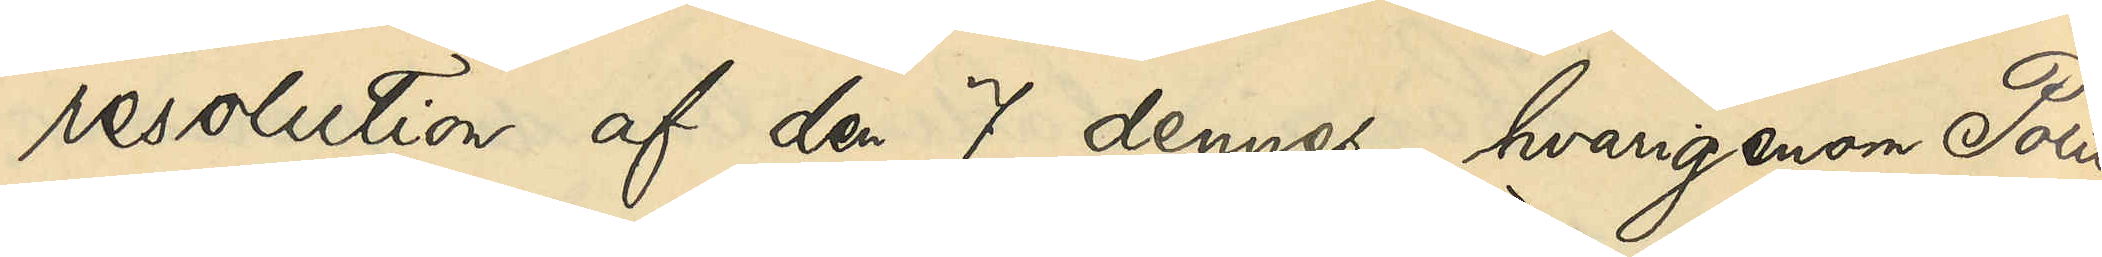resolution af den 7 dennes, hvarigenom Polis¬
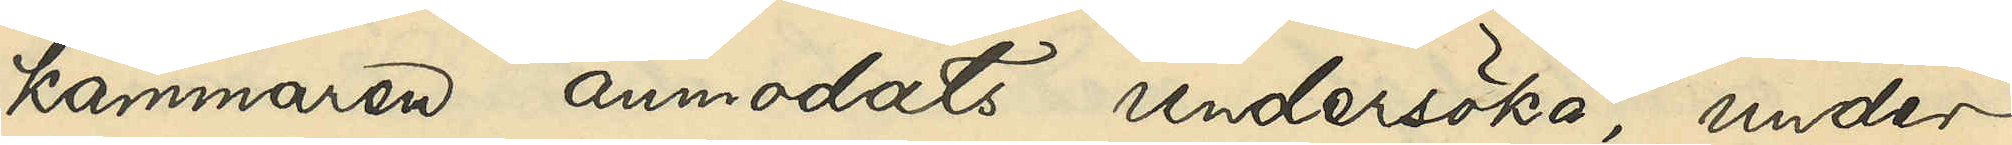kammaren anmodats undersöka, under
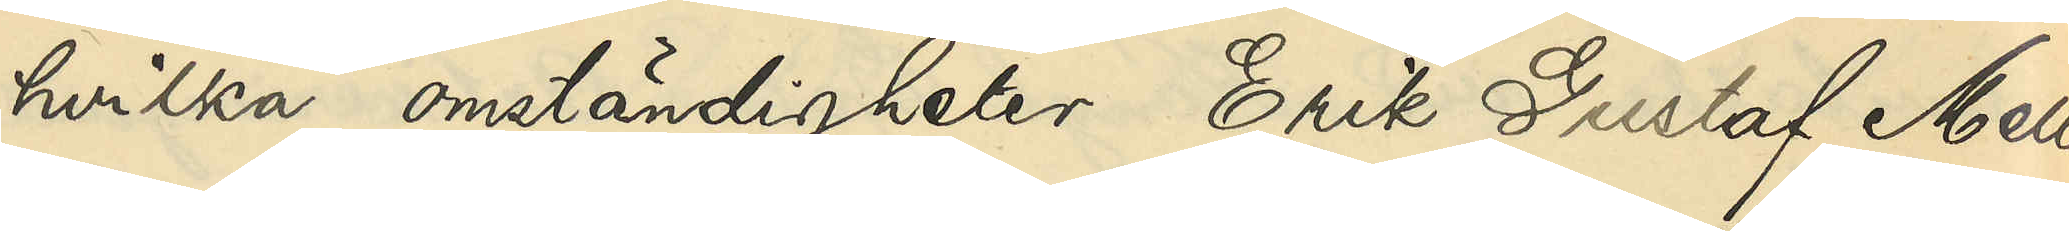hvilka omständigheter Erik Gustaf Mell¬
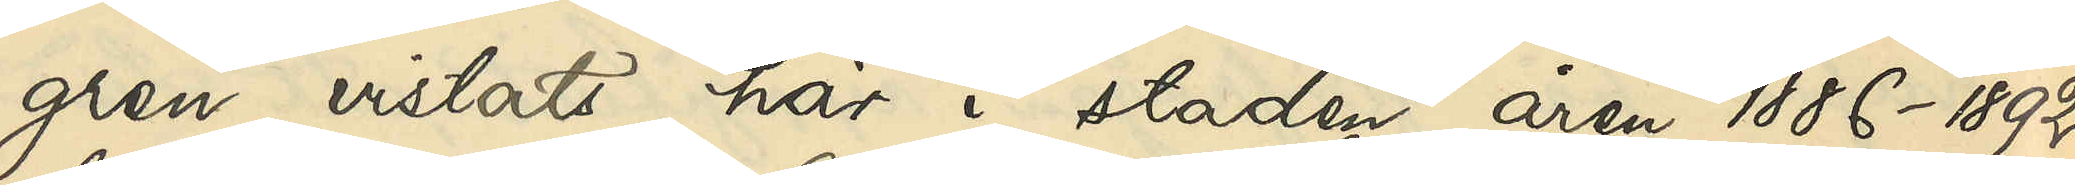gren vistats här i staden åren 1886-1892,
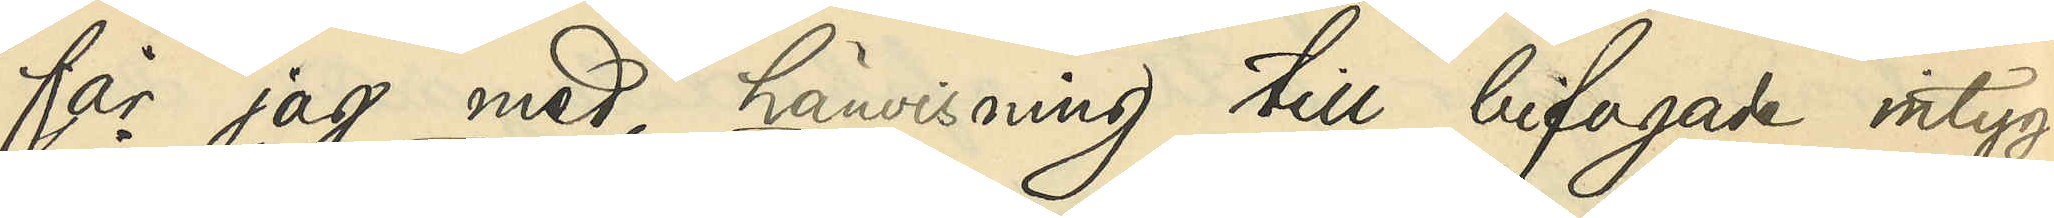får jag med hävisning till bifogade intyg
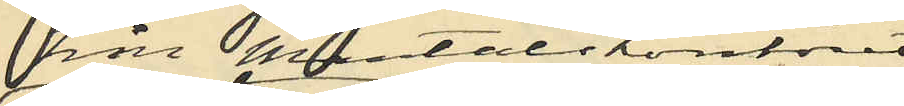från Mantalskontoret
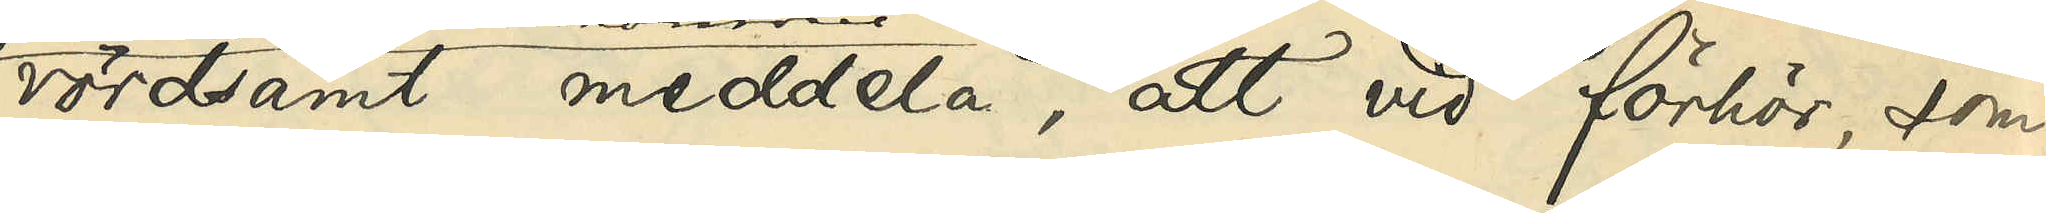vördsamt meddela, att vid förhör, som
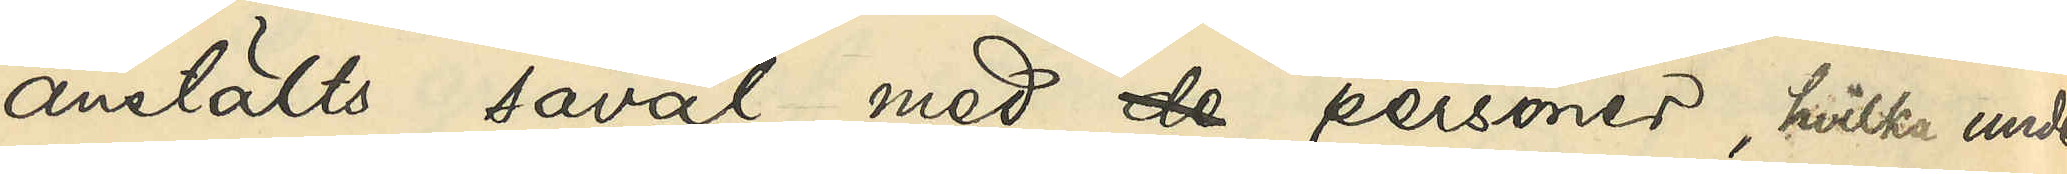anstälts såväl med de personer, hvilka under
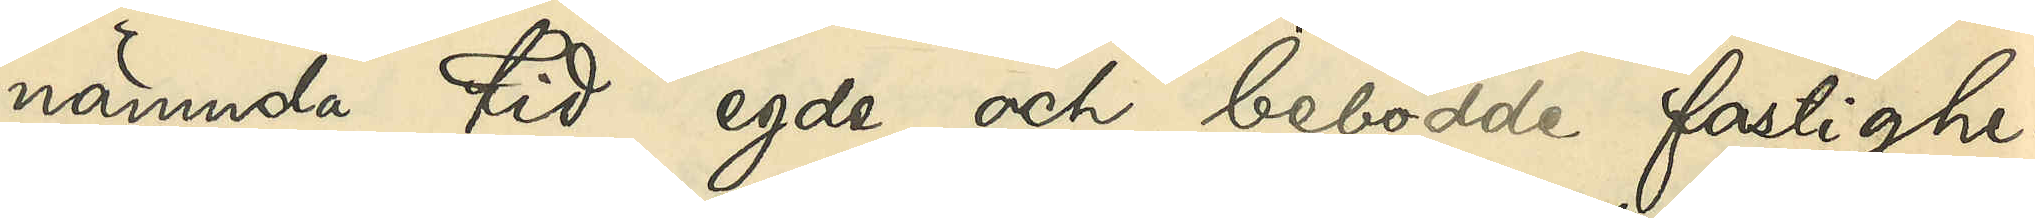nämnda tid egde och bebodde fastighe¬
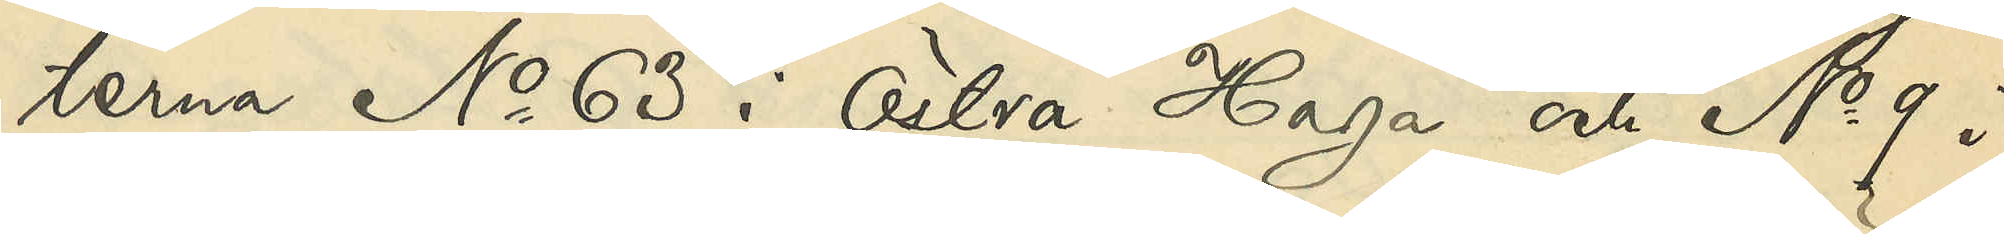terna No 63 i Östra Haga och No 9 i
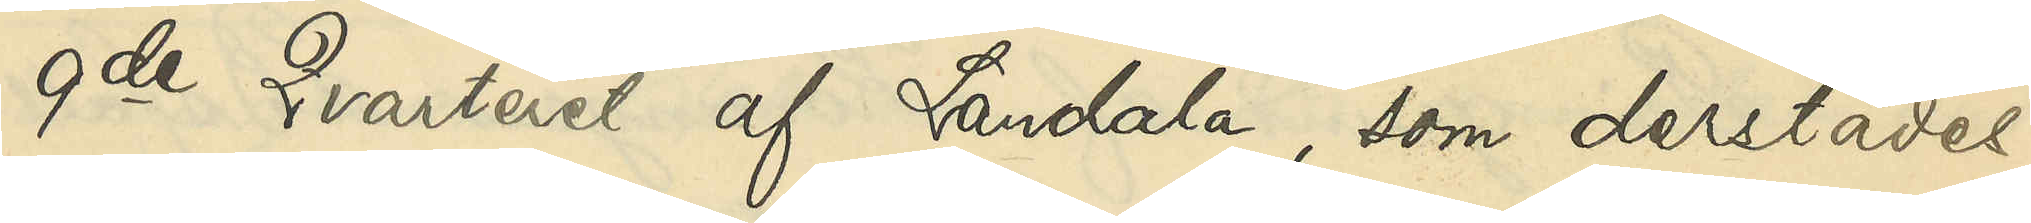9de Qvarteret af Landala, som derstädes
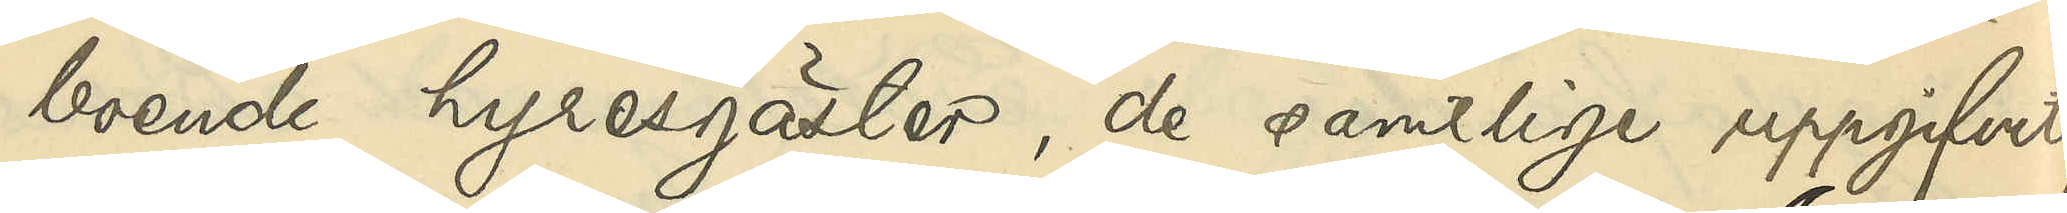boende hyresgäster, de samtlige uppgifvit,
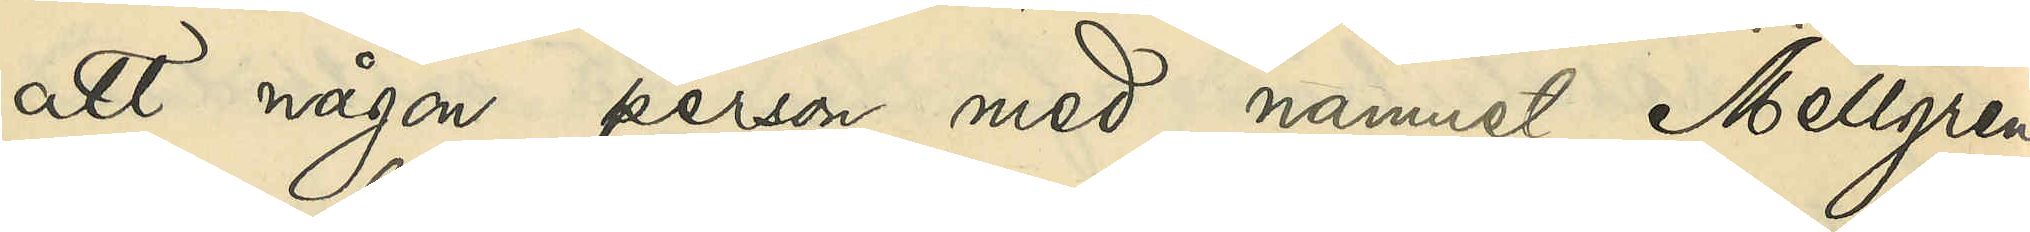att någon person med namnet Mellgren
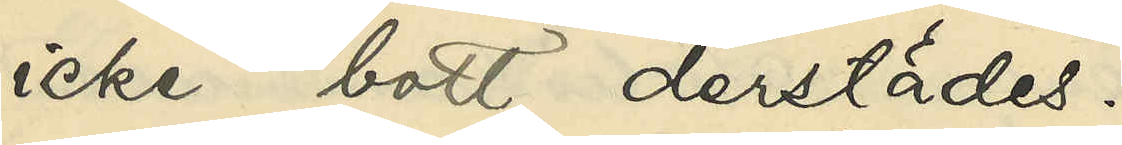icke bott derstädes.
